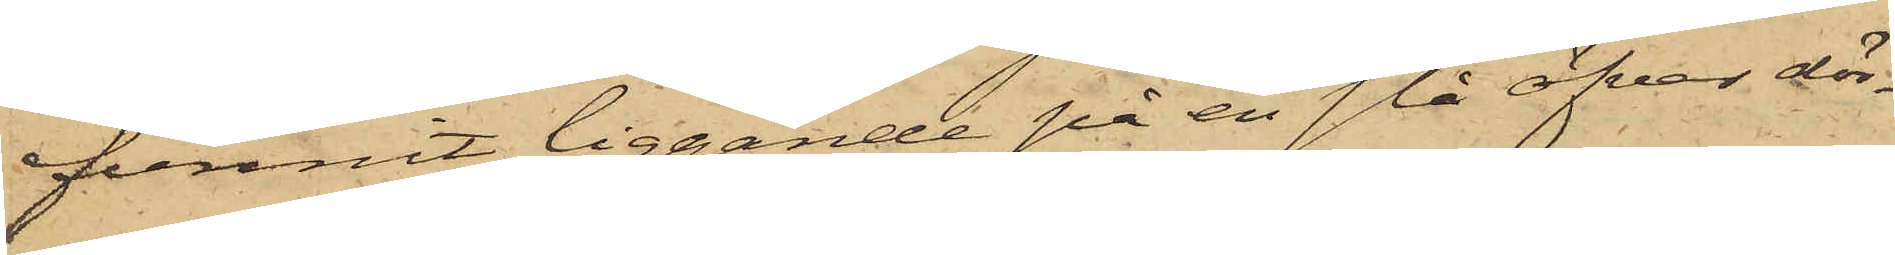funnit liggande på en slå öfver dör¬
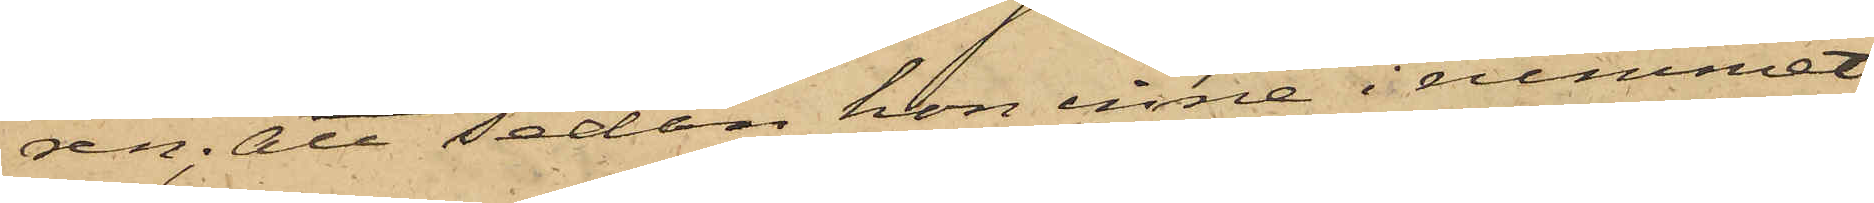ren; att sedan hon inne i rummet
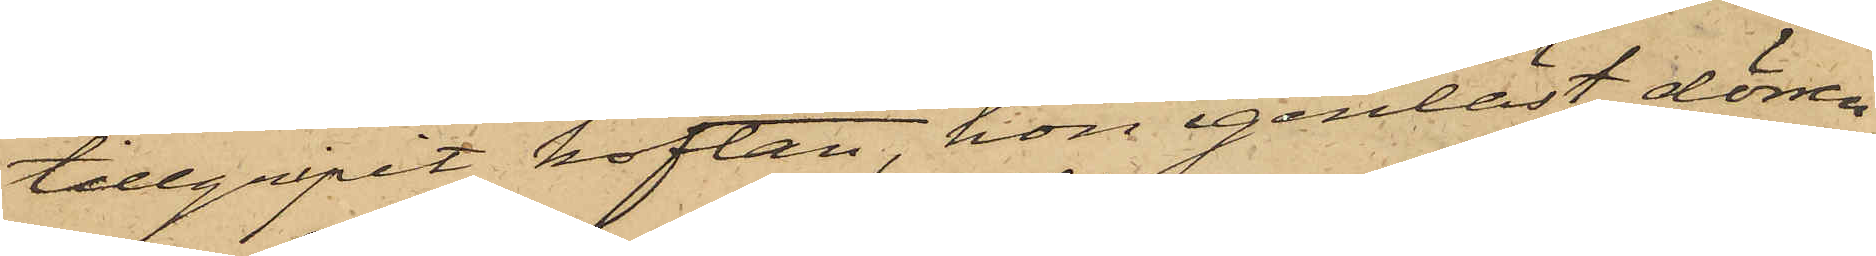tillgripit koftan, hon igenlåst dörren
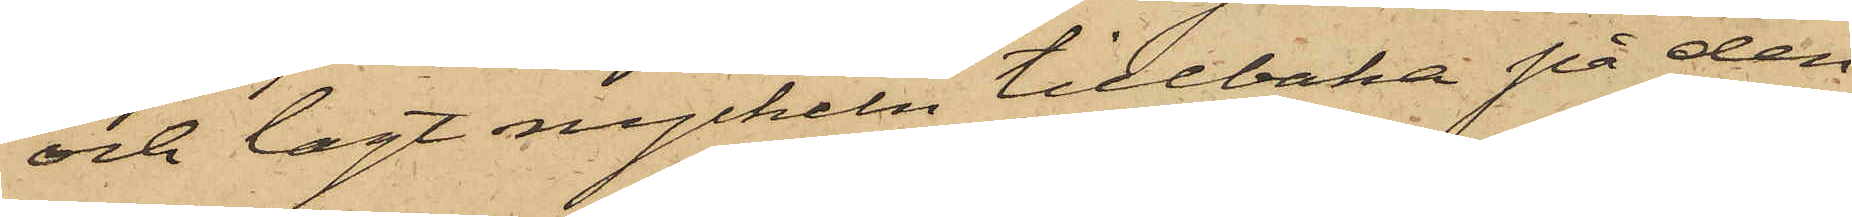och lagt nyckeln tillbaka på den
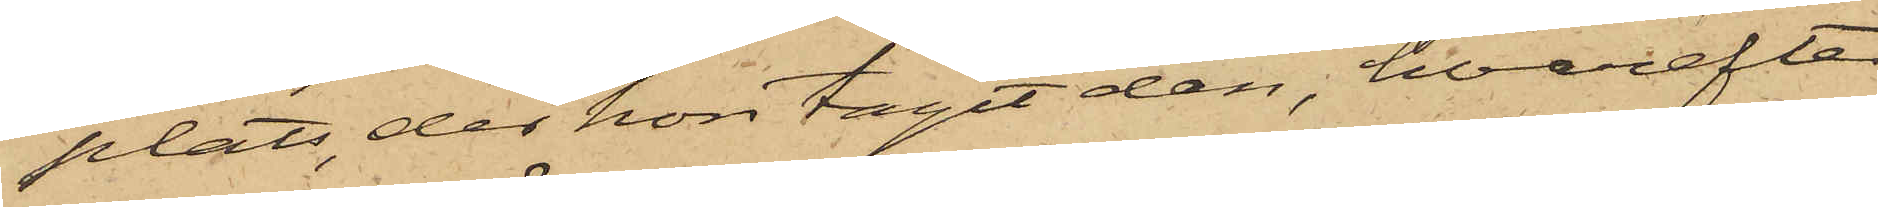plats, der hon tagit den, hvarefter
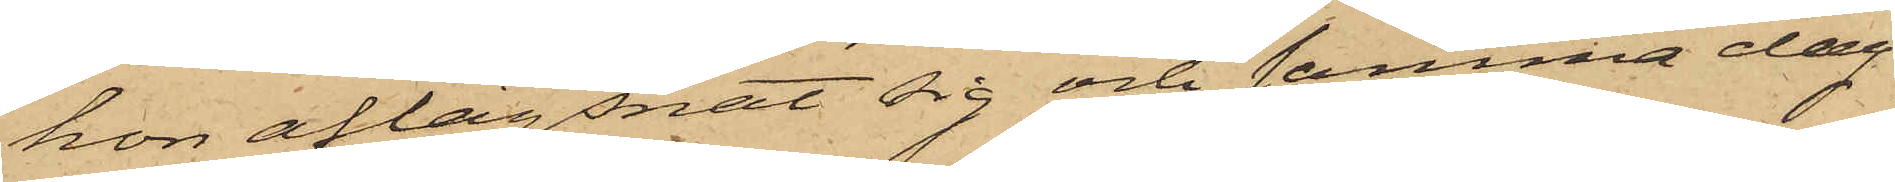hon aflägsnat sig och samma dag
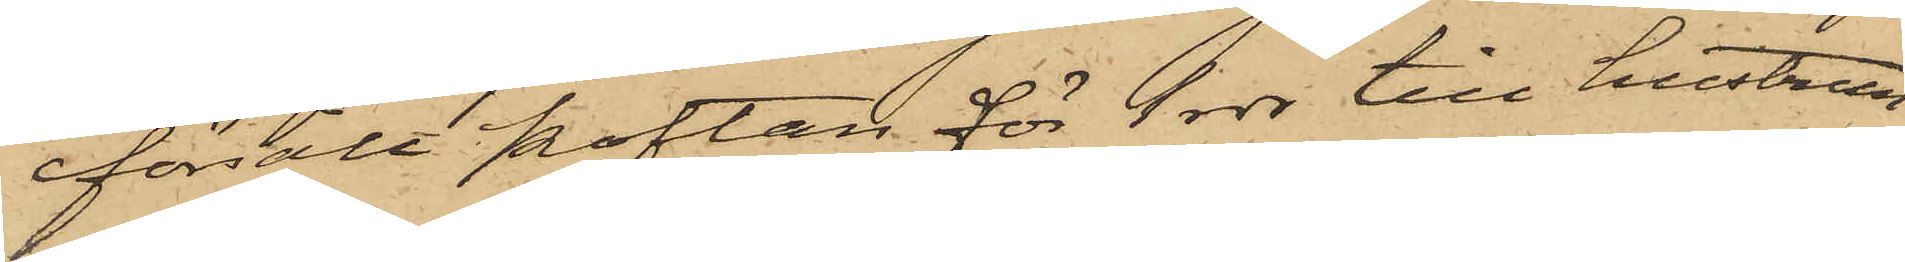försålt koftan för 1 rdr till hustrun
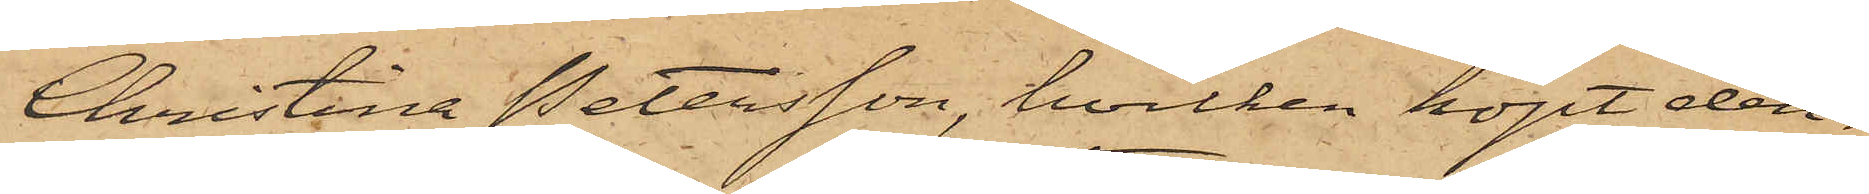Christina Petersson, hvilken köpt den¬
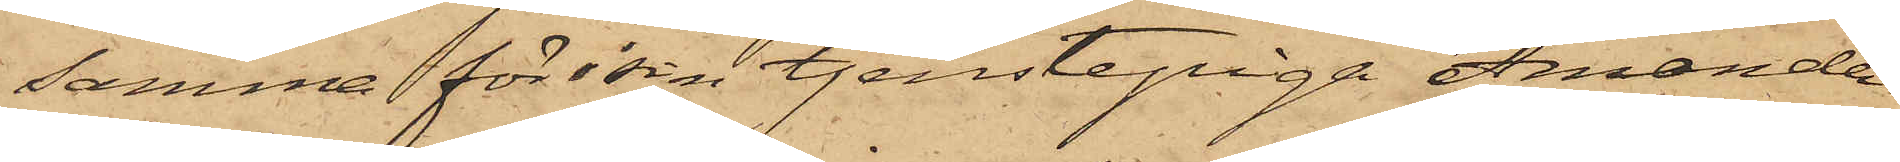samma för sin tjenstepiga Amanda
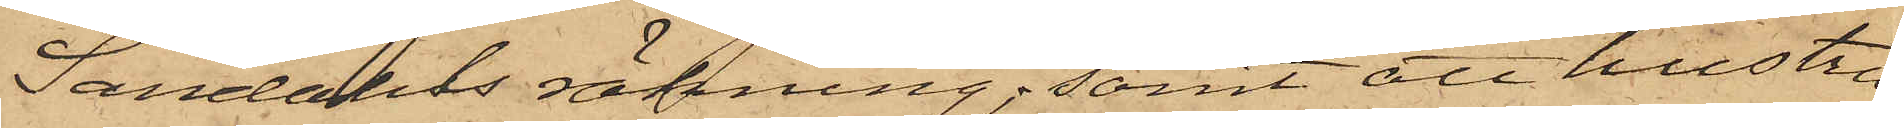Sandahls räkning; samt att hustru
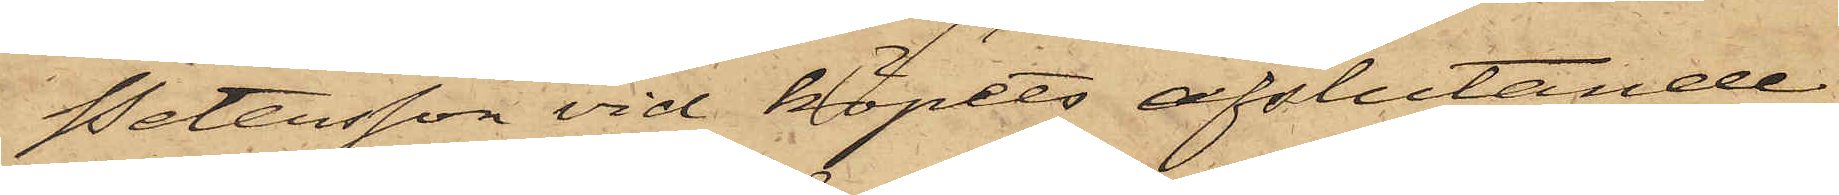Petersson vid köpets afslutande
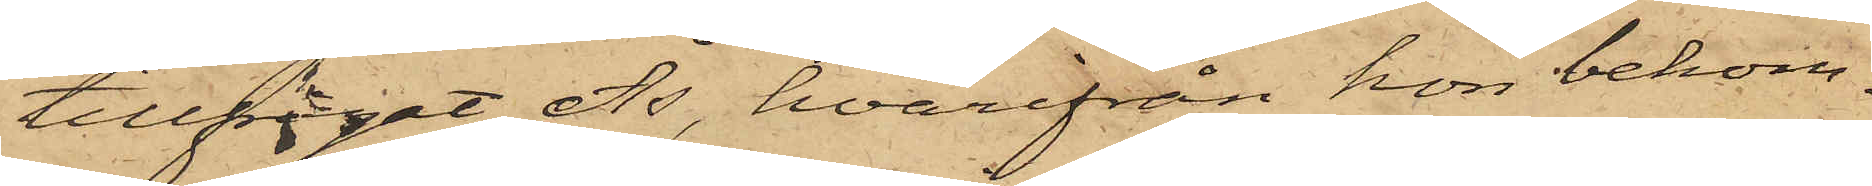tillfrågat Ås, hvarifrån hon bekom¬
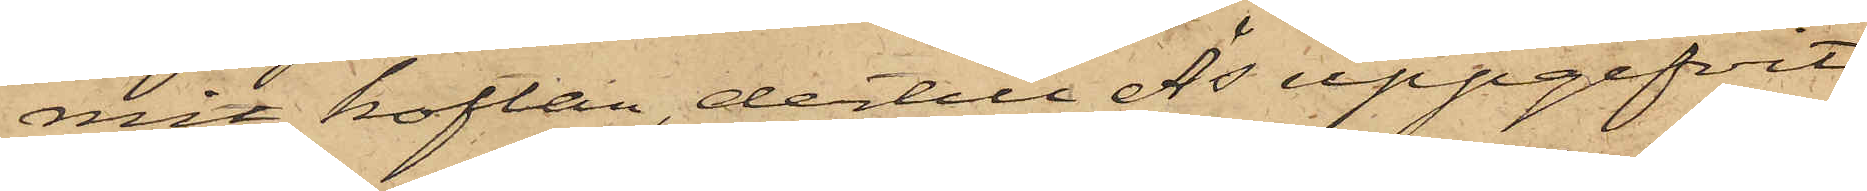mit koftan, dertill Ås uppgifvit
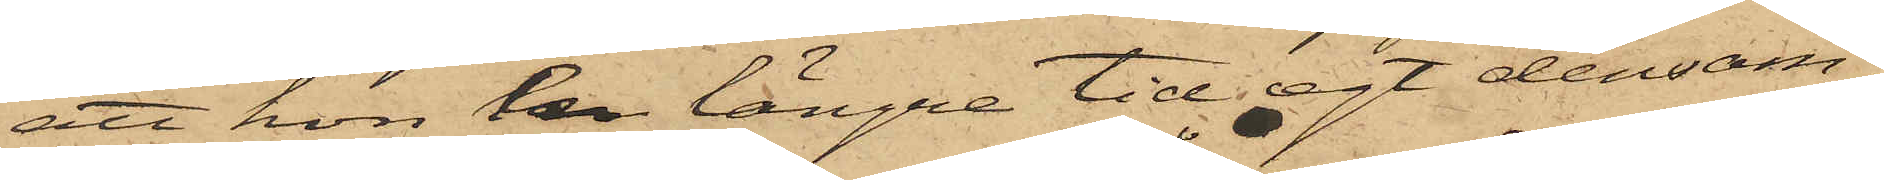att hon en längre tid egt densam¬
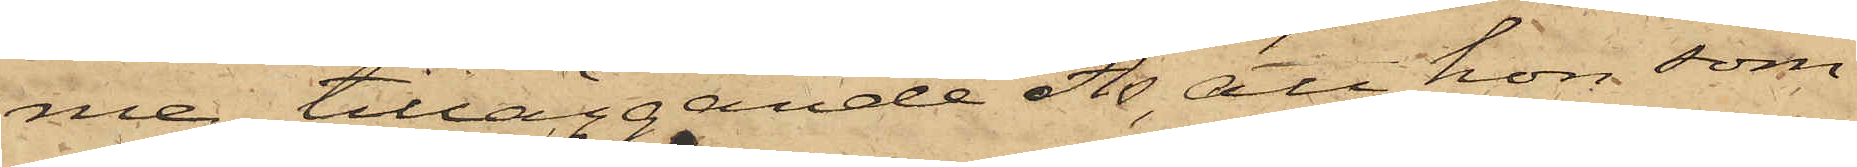me; tilläggande Ås, att hon, som
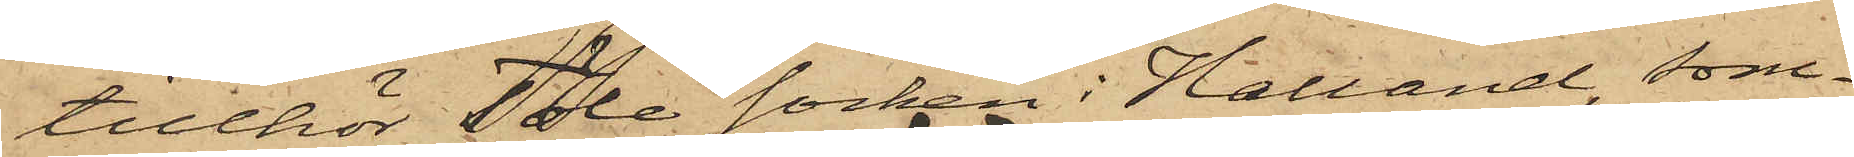tillhör Töle socken i Halland, som¬
